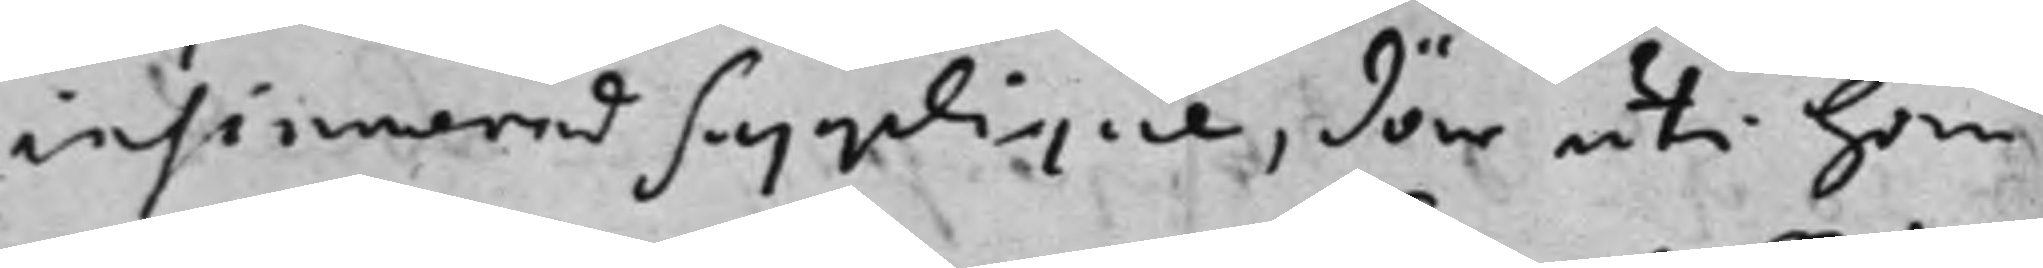insinuerad Supplique, där uti han
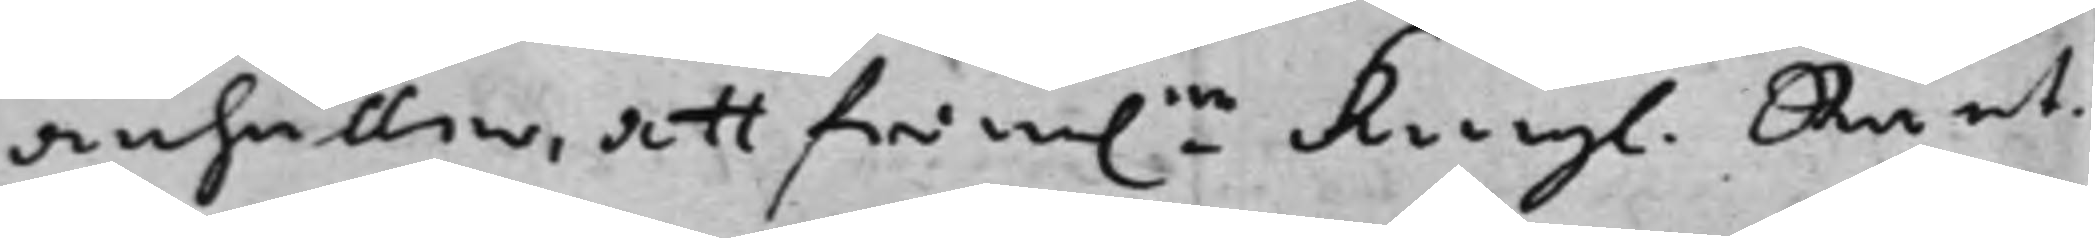anhåller, att fram:ne Kongl. Ränt¬ 
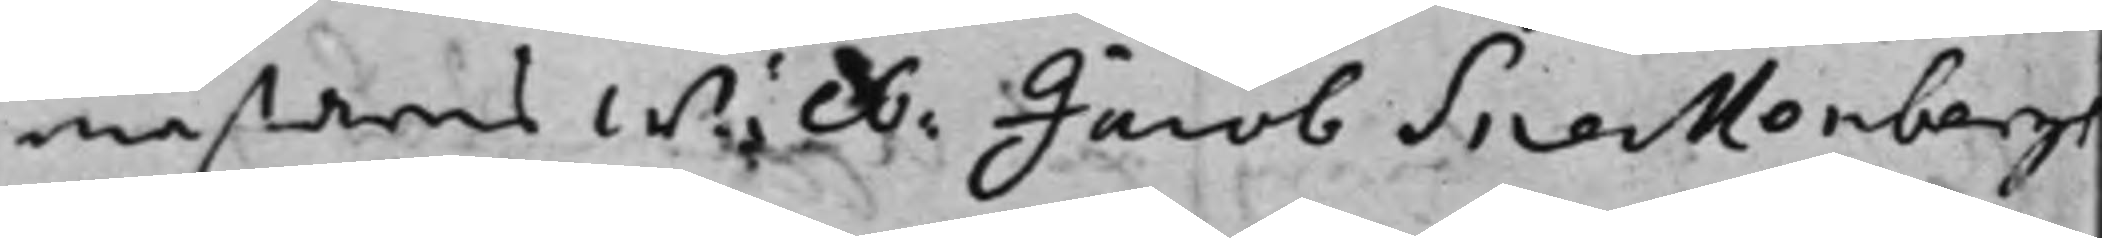mästarens Wälb. Jacob Sneckenbergs 
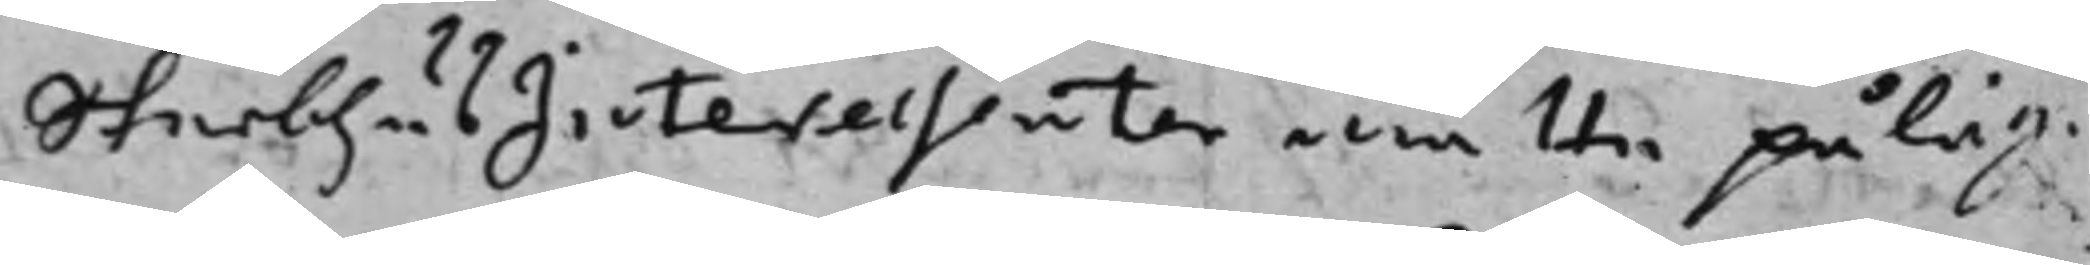SterbhusInteressenter måtte påläg¬
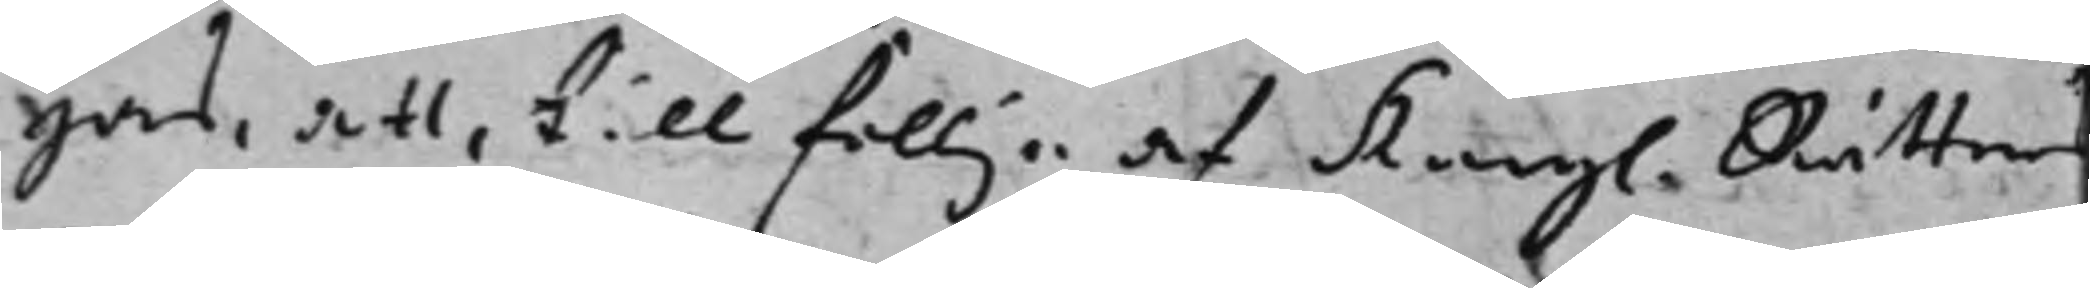gas, att, till föllje af Kongl. Rättens 
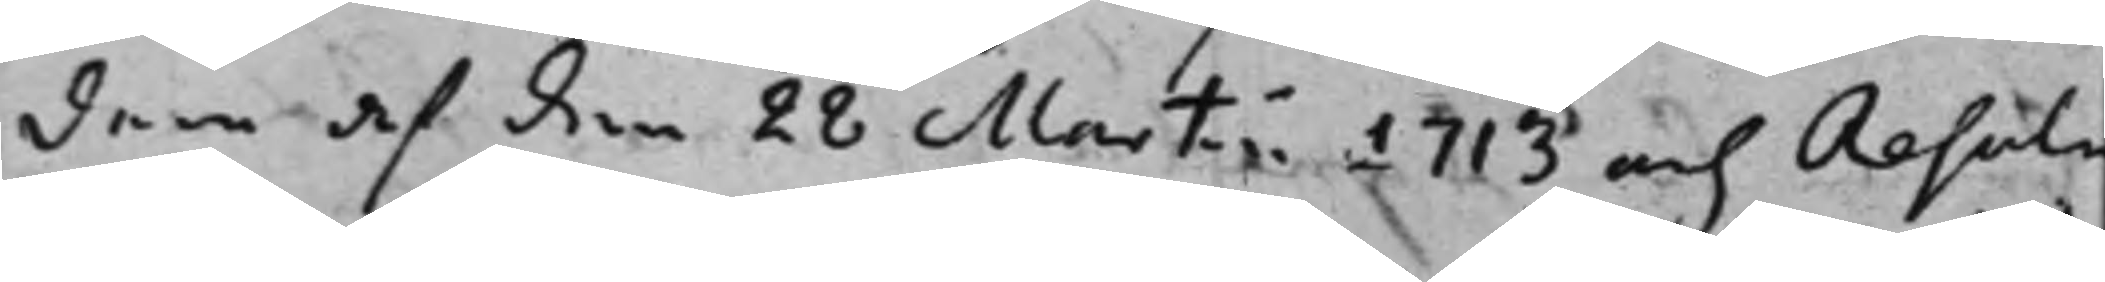dom af den 28 Martii 1713 och Resolu¬
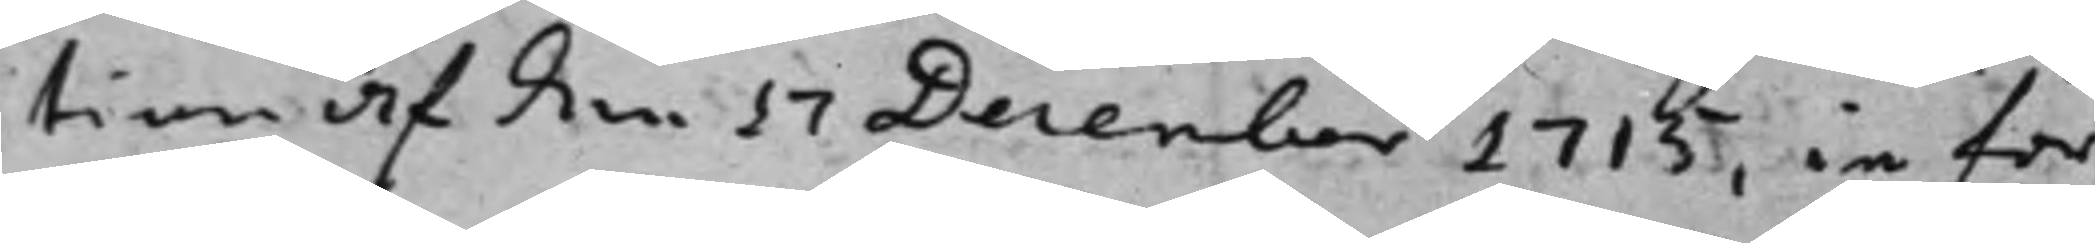tion af den 17 December 1715, in för
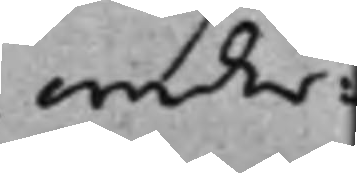weder¬
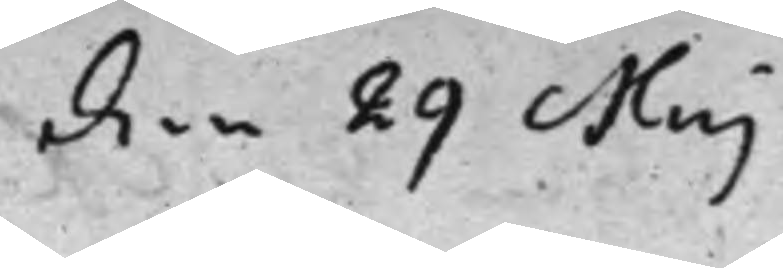den 29 Maj
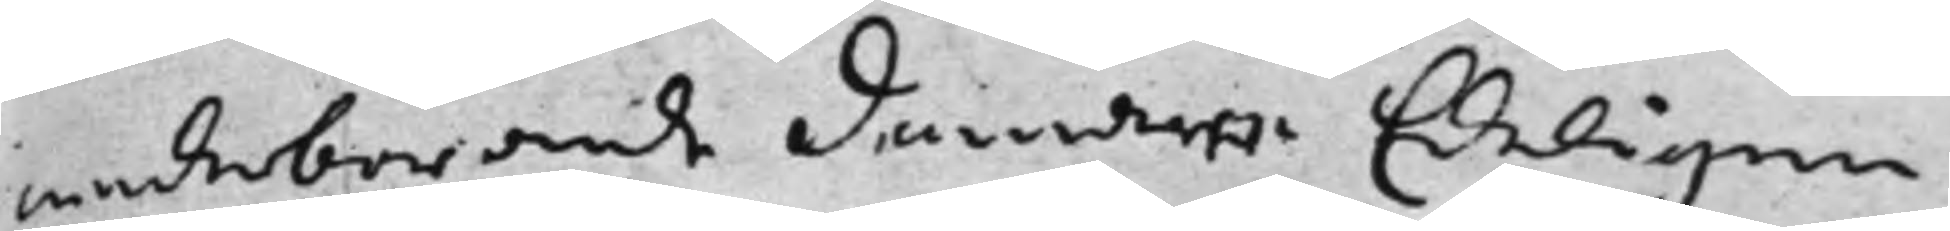wederbörande Domare Edeligen
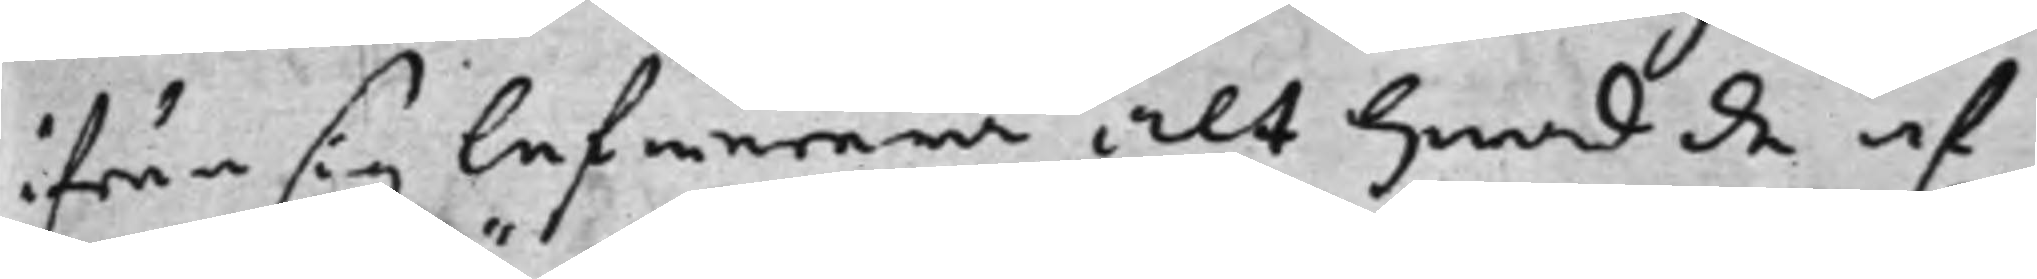ifrån sig lefwerera alt hwad de af
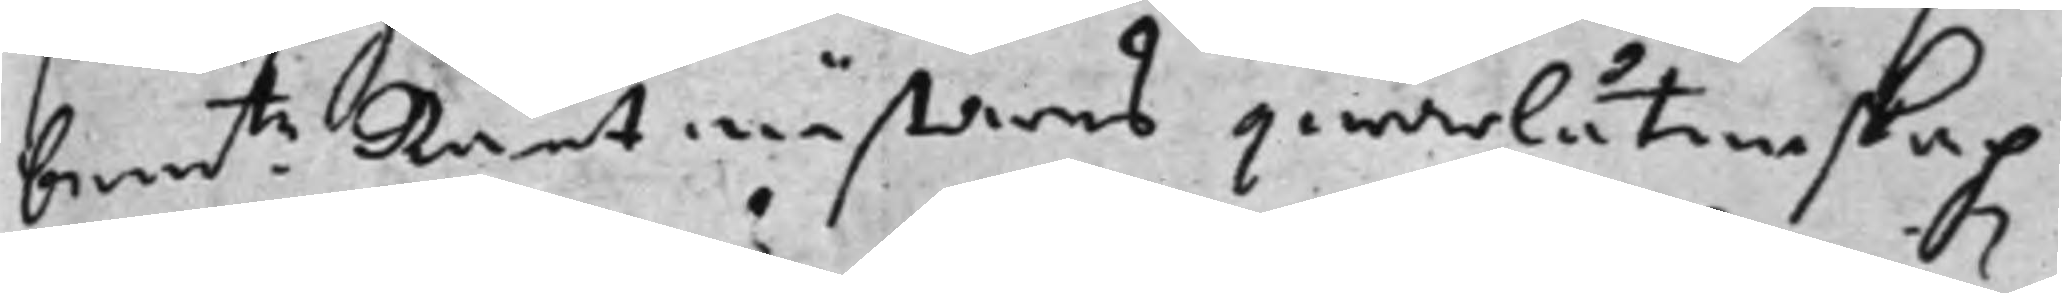bemte Räntmästares qwarlåtenskap 
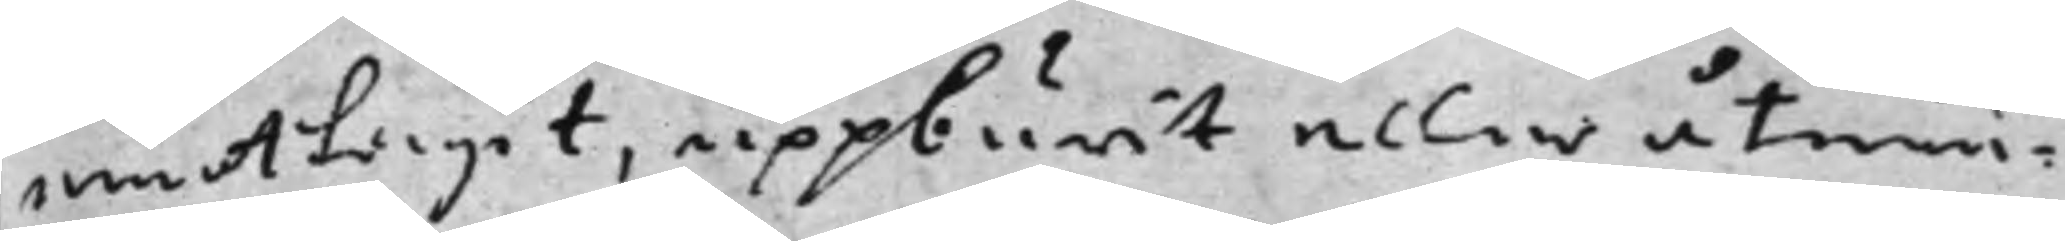emottagit, uppburit eller åtniu¬
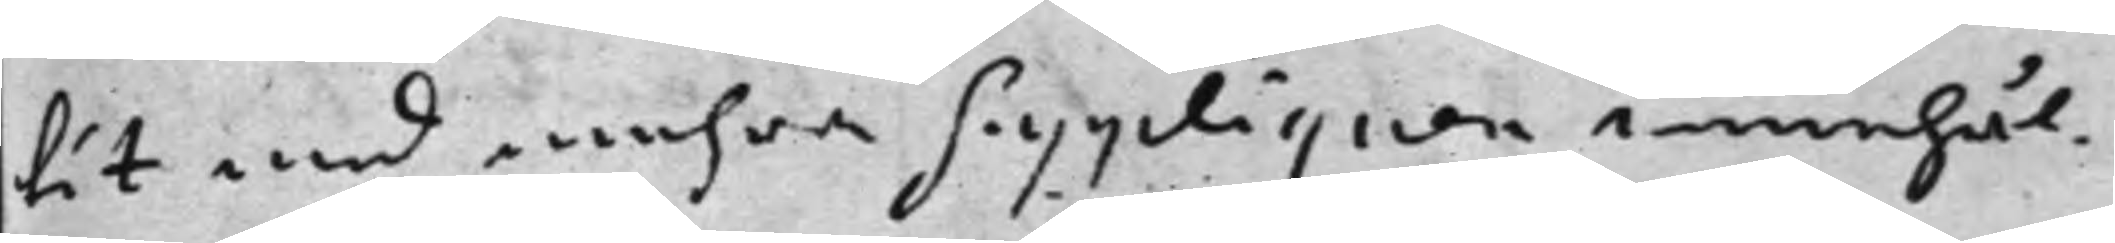tit med mehra Suppliquen innehål¬
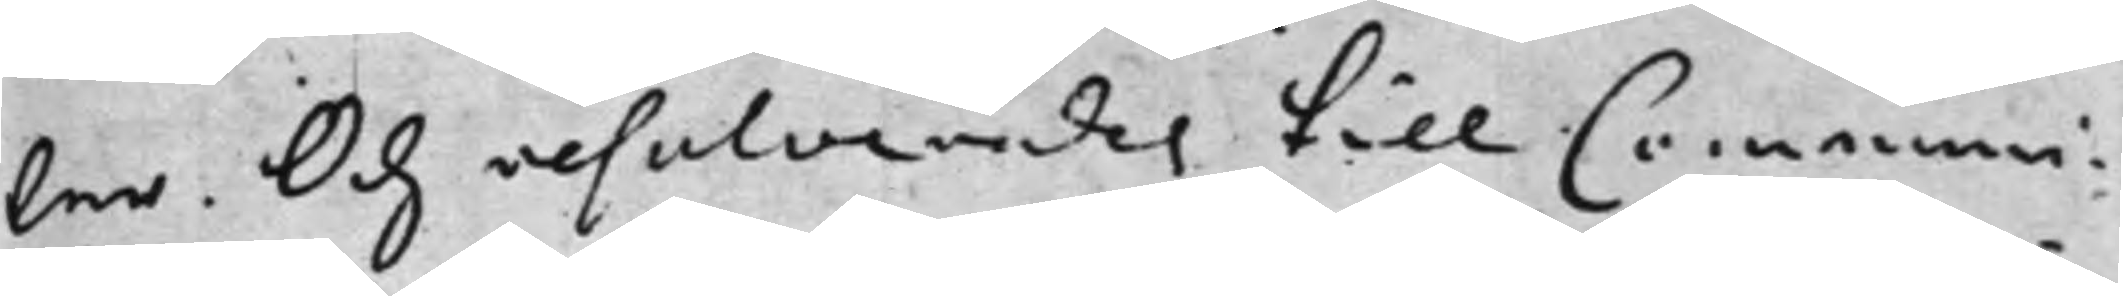ler. Och resolverades till Communi¬
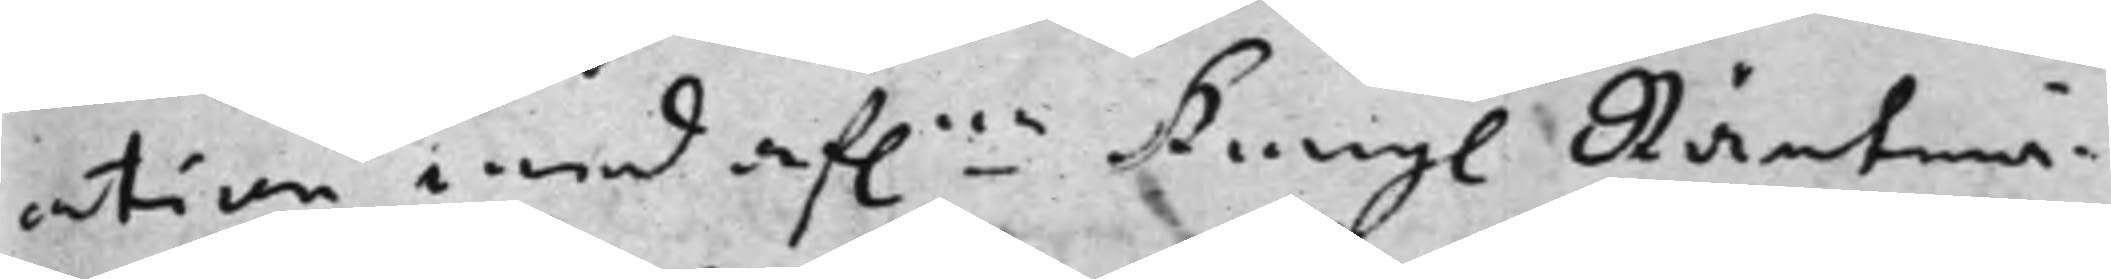ation med af:ne Kongl. Räntmä¬ 
